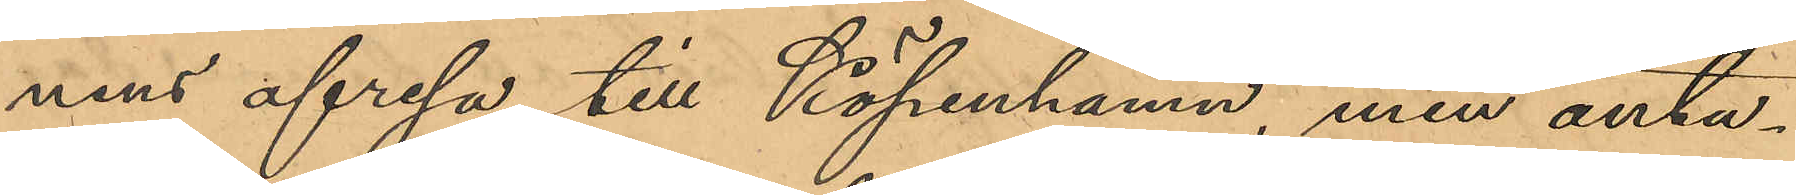nens afresa till Köpenhamn, men anta¬
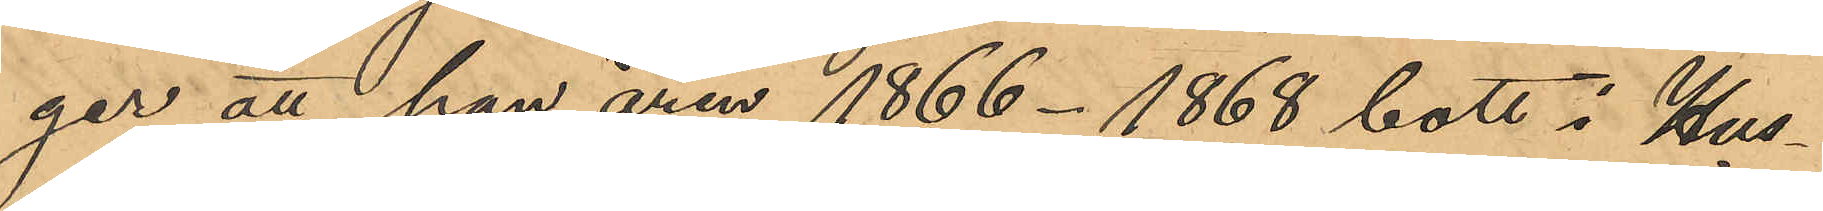ger att han åren 1866 - 1868 bott i Hus¬
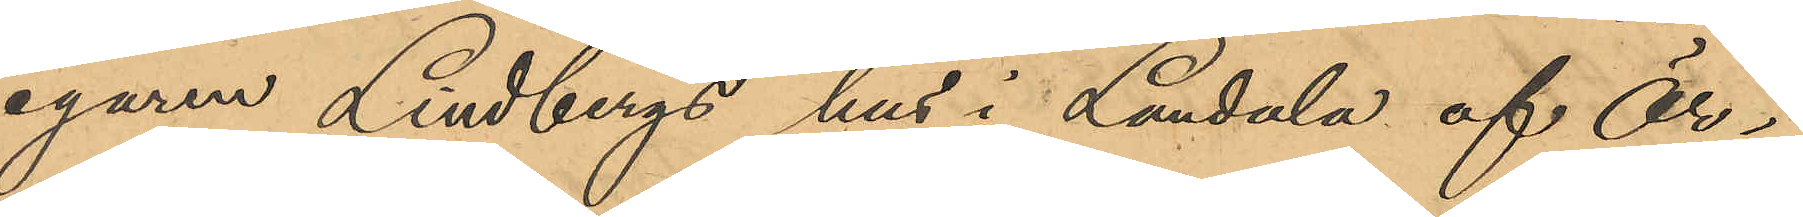egaren Lindbergs hus i Landala af Ör¬
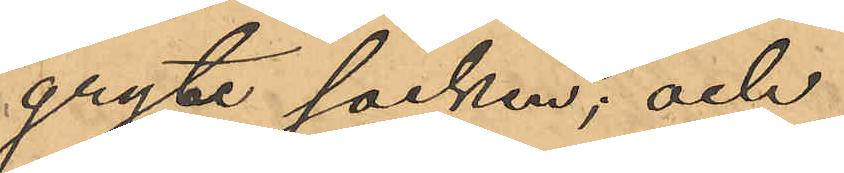gryte socken; och
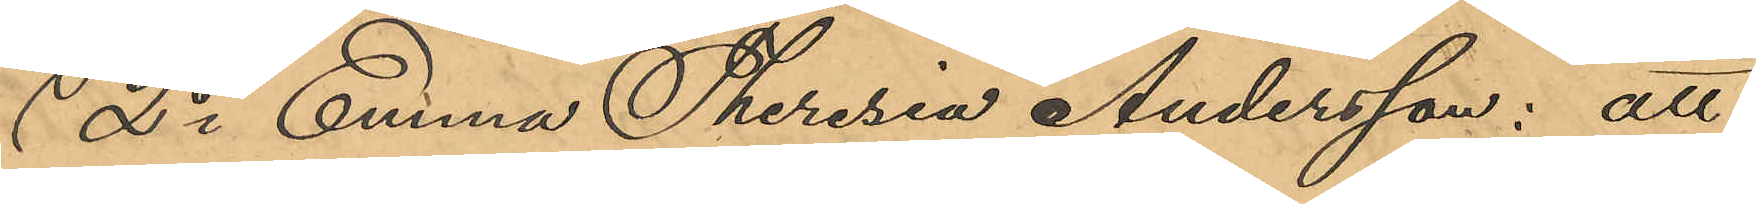2o Emma Theresia Andersson: att
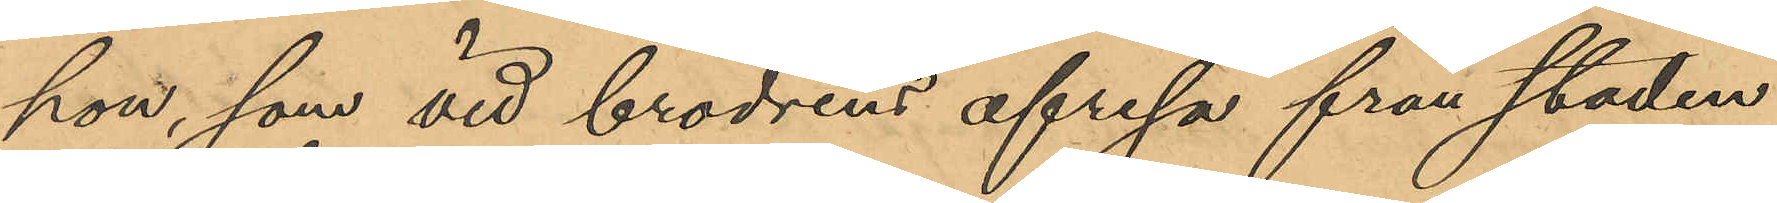hon, som vid brodrens afresa från staden
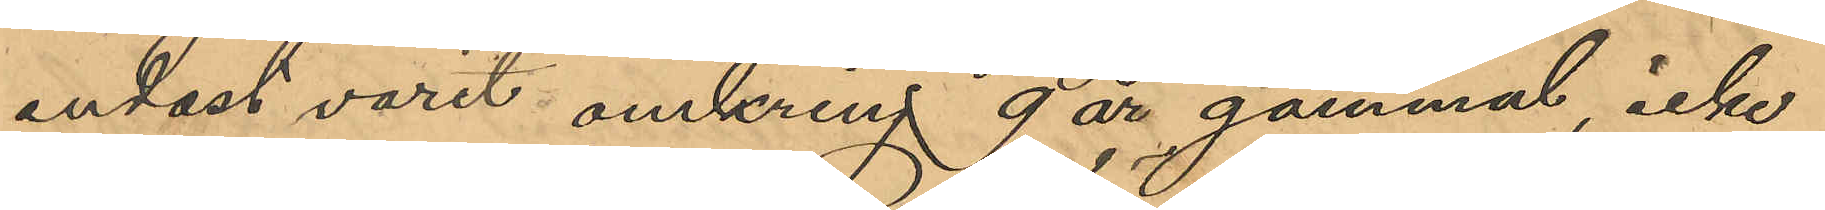endast varit omkring 9 år gammal, icke
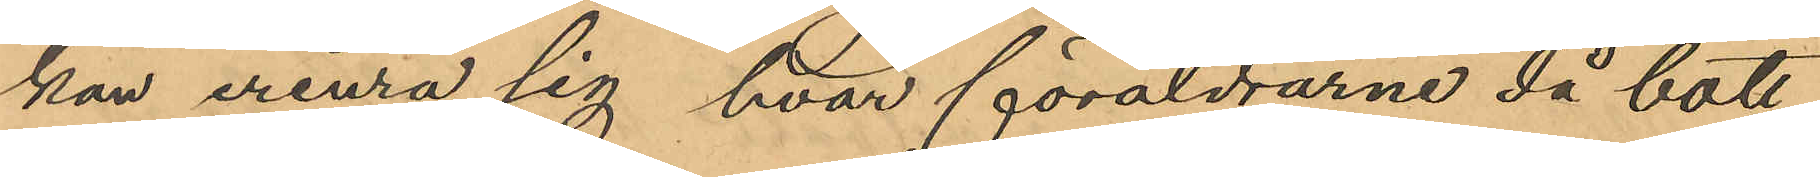kan erinra sig hvar föräldrarne då bott.
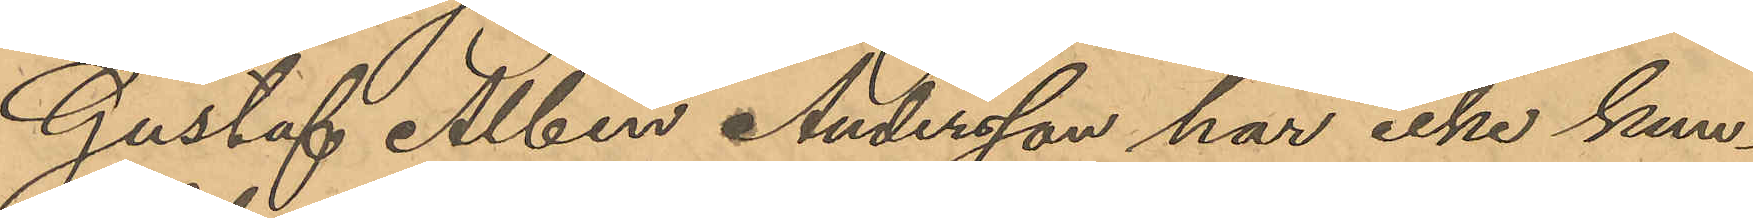Gustaf Albin Andersson har icke kun¬
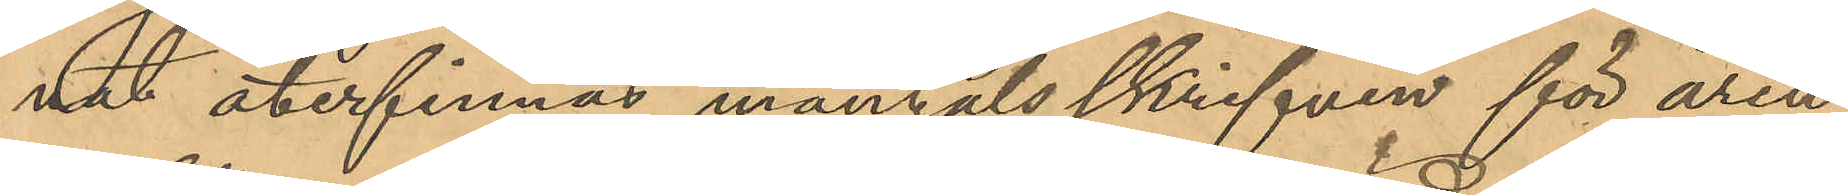nat återfinnas mantalsskrifven för åren
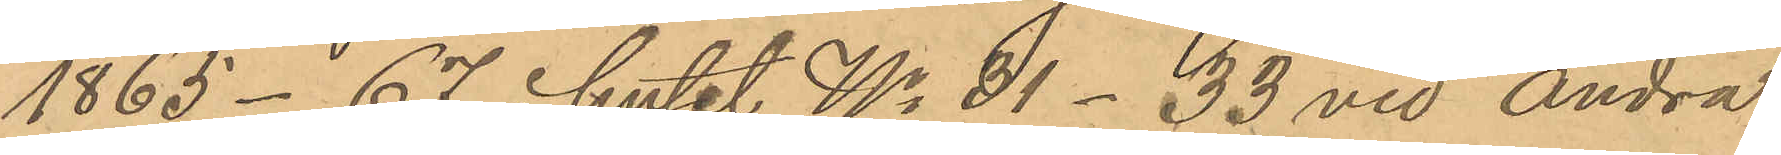1865 - 67 i huset No 31- 33 vid Andra
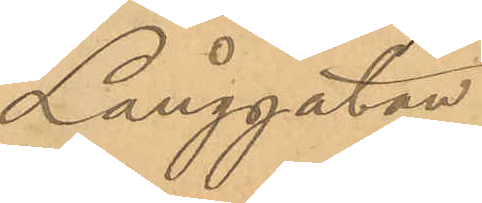Långgatan.
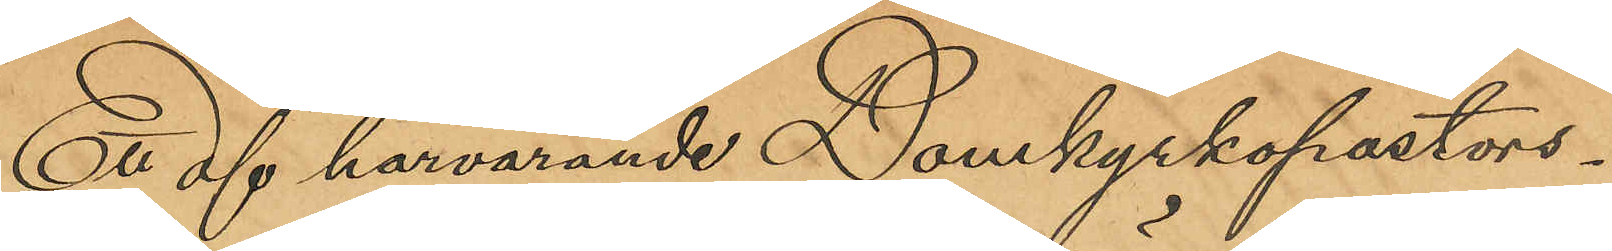Ett af härvarande Domkyrkopastors¬
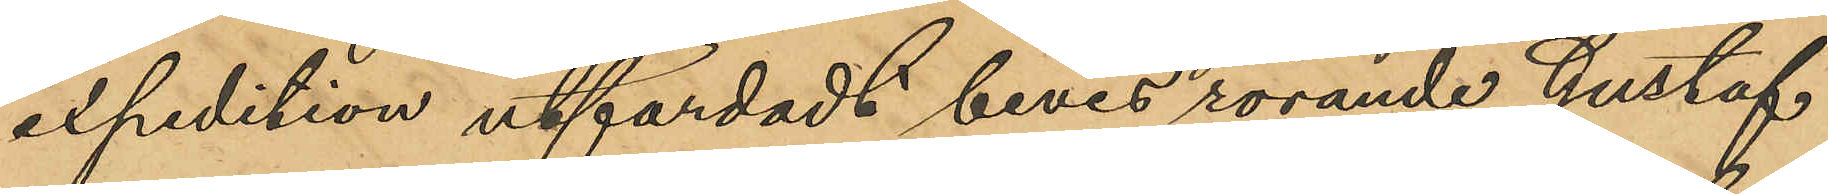expedition utfärdadt bevis rörande Gustaf
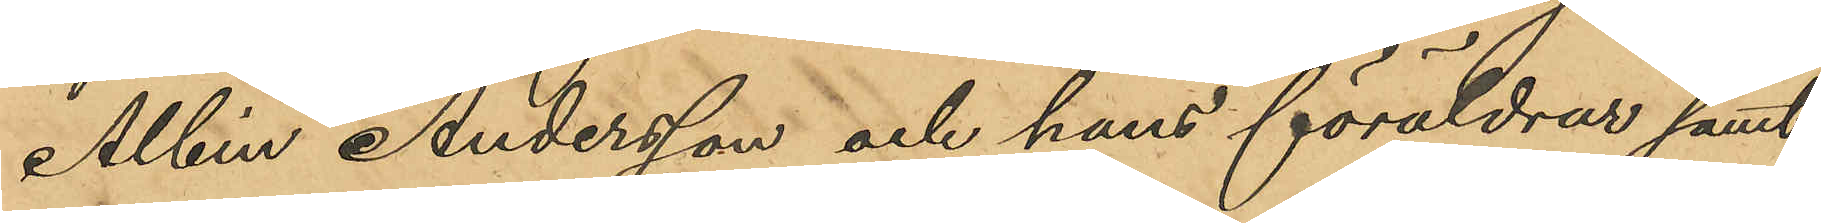Albin Andersson och hans föräldrar samt
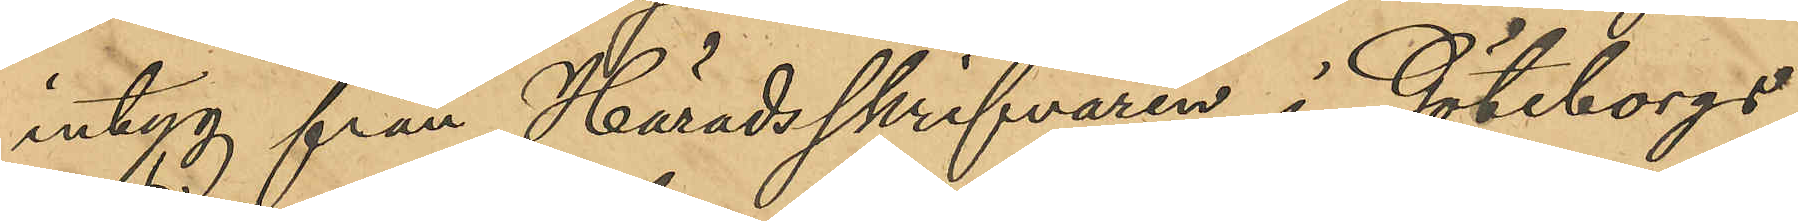intyg från Häradsskrifvaren i Göteborgs
